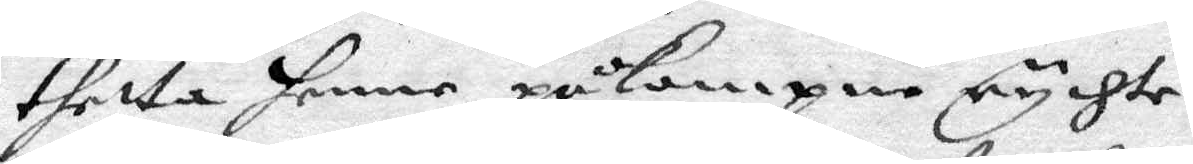dhetta henne påkompne rychte.
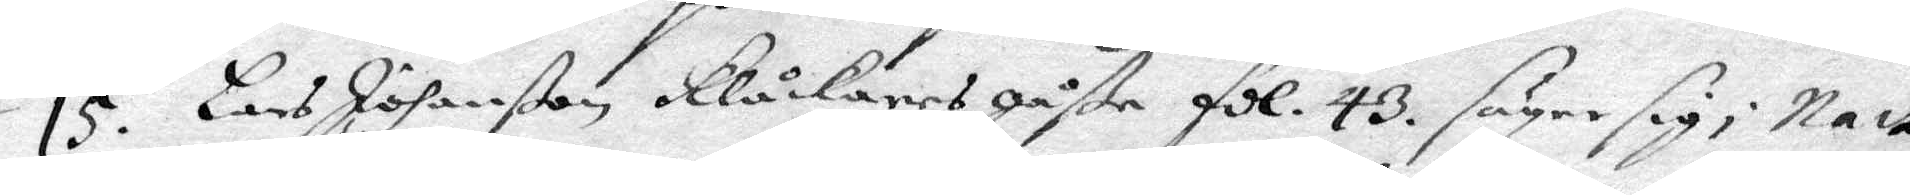15. Lars Johanßon klåckares gåße fol. 43. säyer sig i Natt
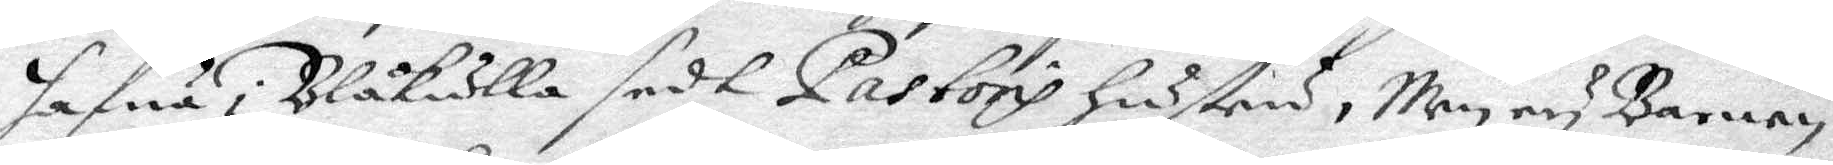hafwa i Blåkulla sedt pastoris hustru, men ey barnen.
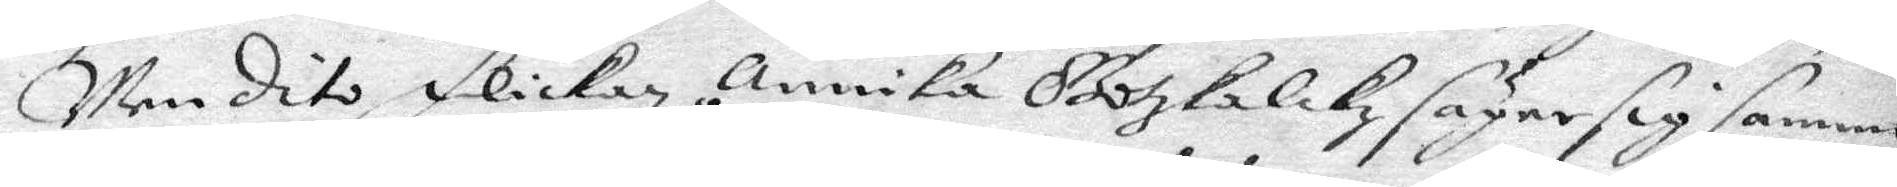Men dito flickan Annika Gotzkalkz säyer sig samme
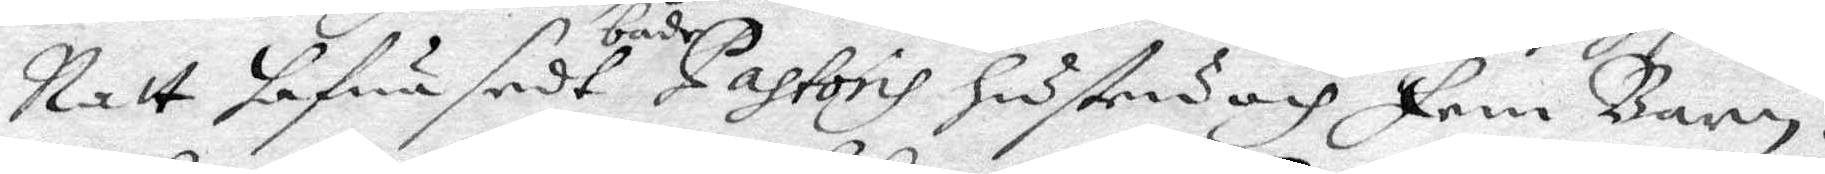Natt hafwa sedt både Pastoris hustru och fem barn.
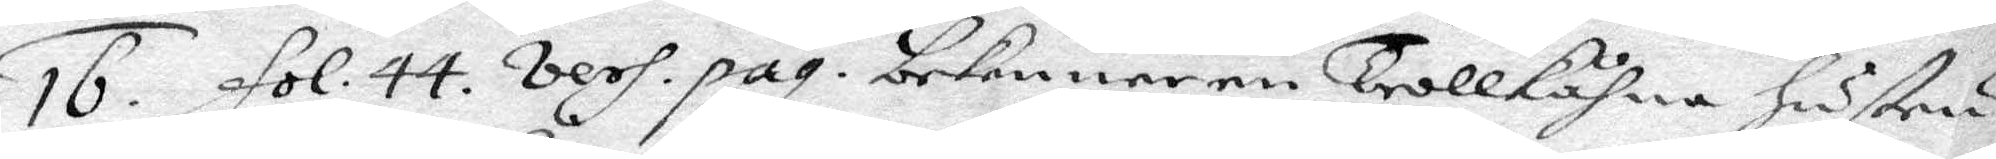16. fol. 44. vers. pag. bekenner en Trollkohna hustru
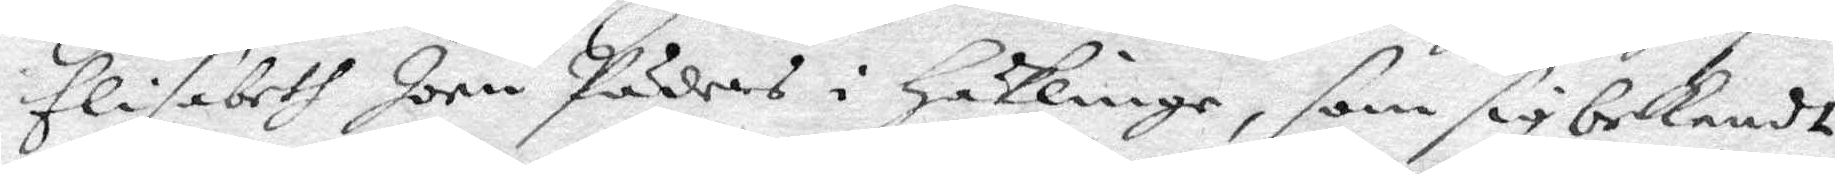Elisabeth Jorn Päders i Häklinge, som sig bekendt
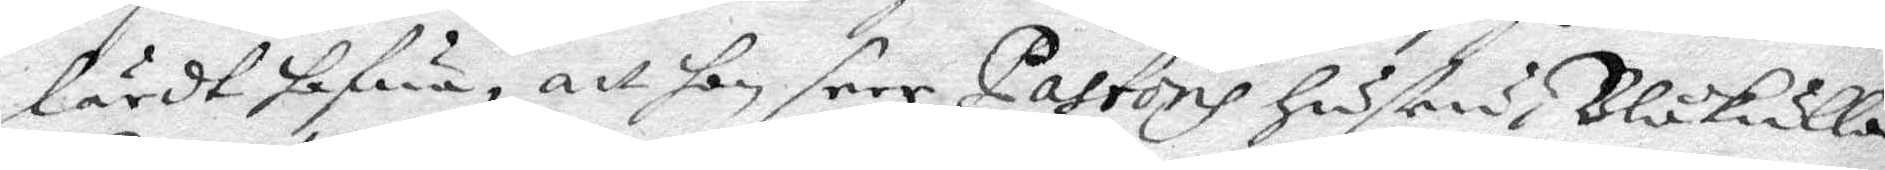lärdt hafwa, att hon seer Pastoris hustru i Blåkulla
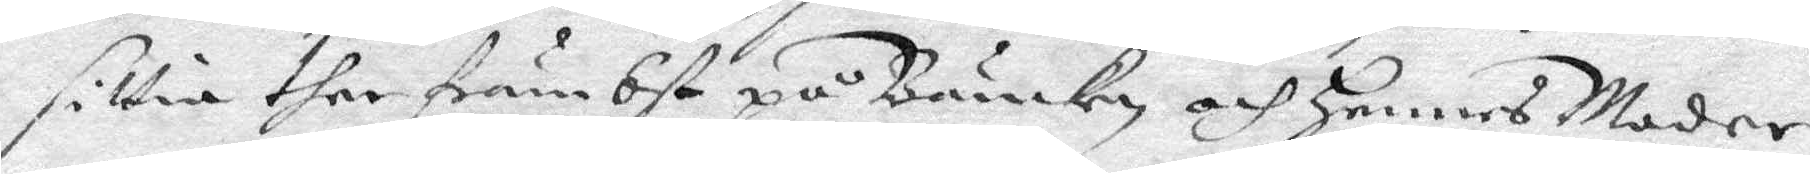sittia ther främbst på Bänken och hennes Moder
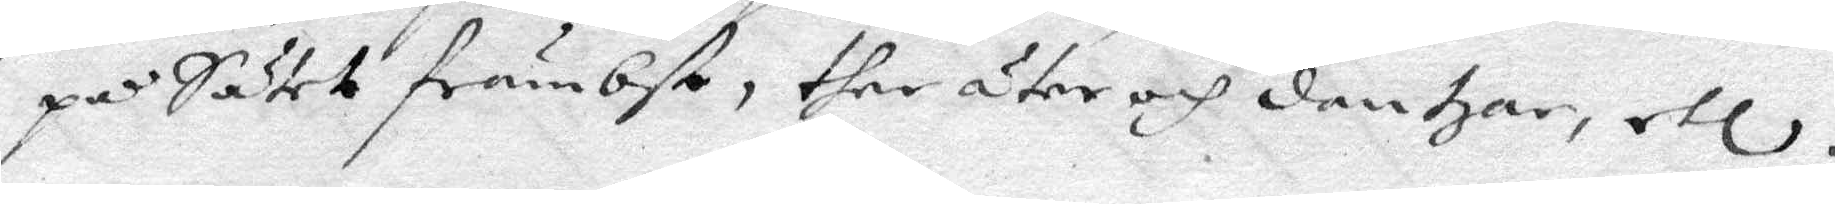på sätet främbst, ther äter och dantzar, etc.
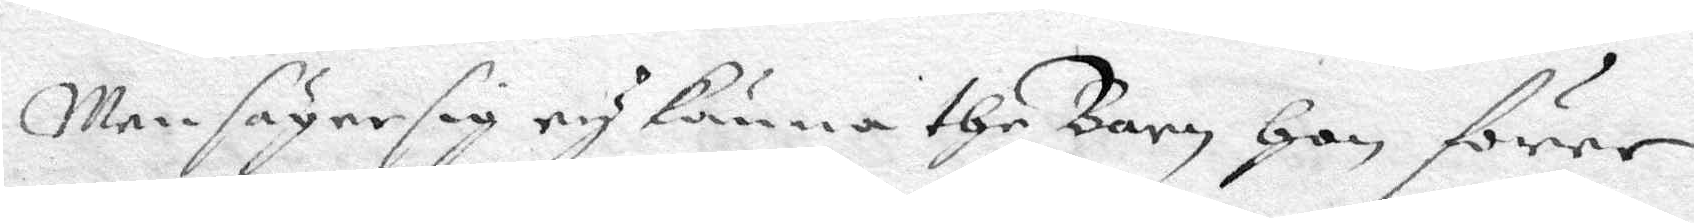Man säger sig ey knna the Barn, hon förer.
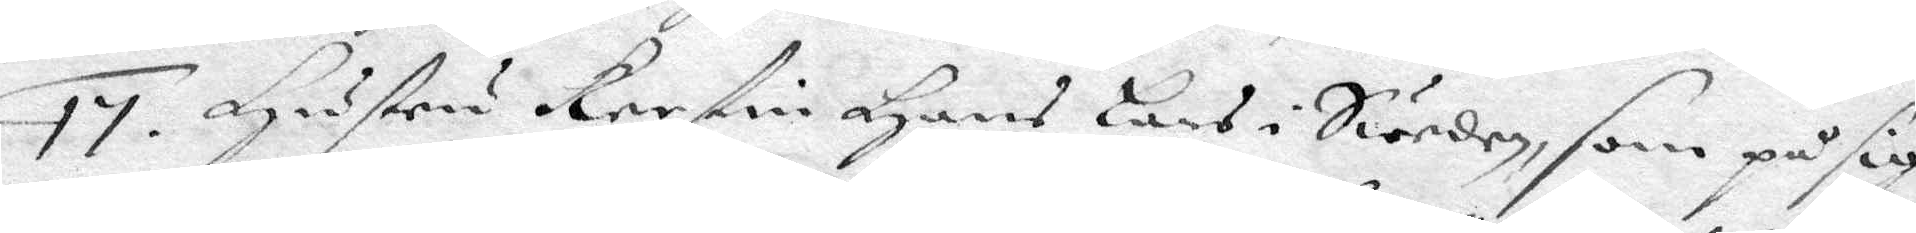17. Hustru Kerstin Hans Lars i Sweden, som p sig
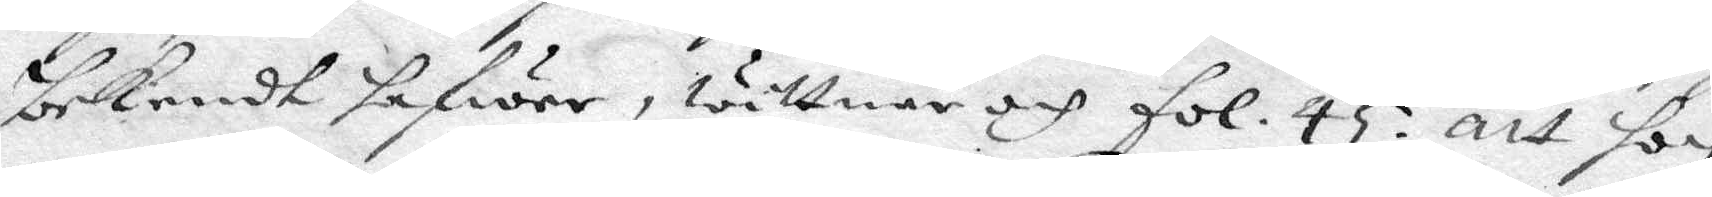bekendt hafwer, wittnar och fol. 45 att hon
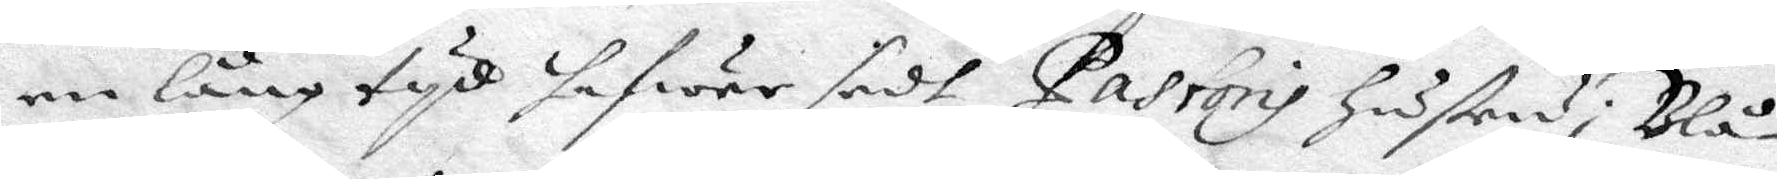en lng tyd hafwer sedt Pastoris hustru i Blå¬
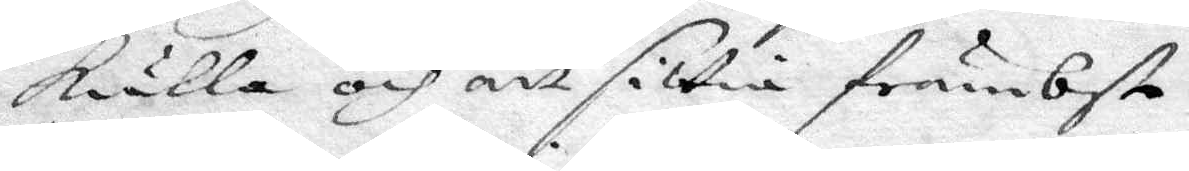kulla och att sittia främbst.
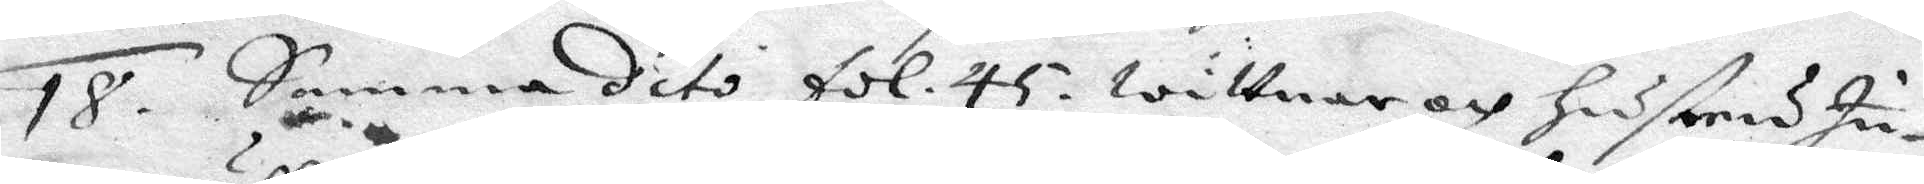18. Samma dito fol. 45, wittnar och hustru In¬
